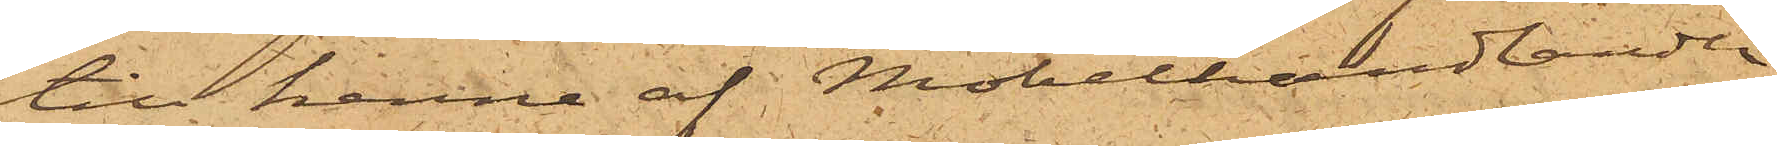till henne af Möbelhandlanden
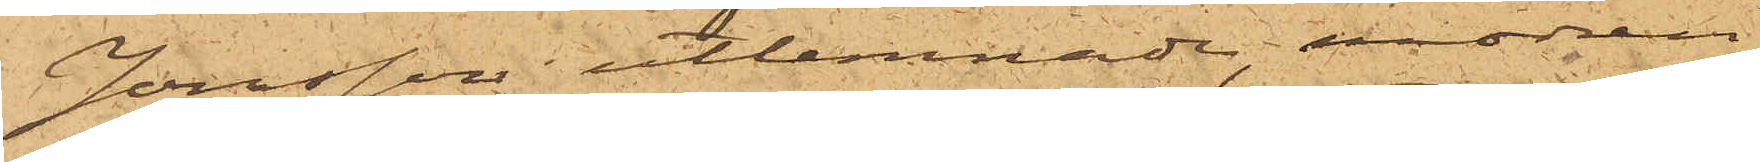Jonsson utlemnade, modren
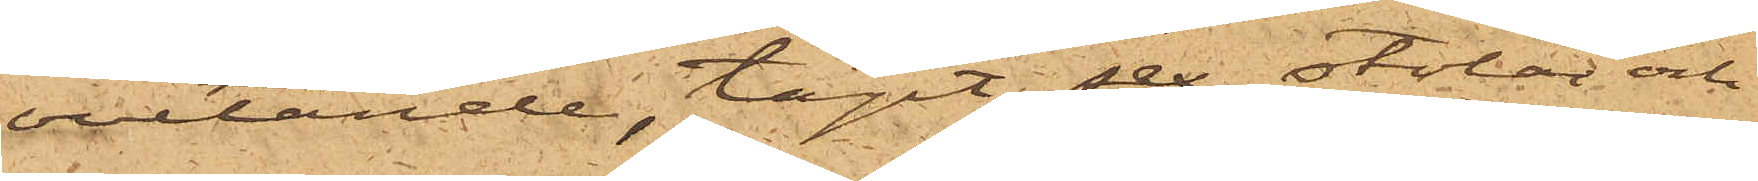ovetande, tagit sex stolar och
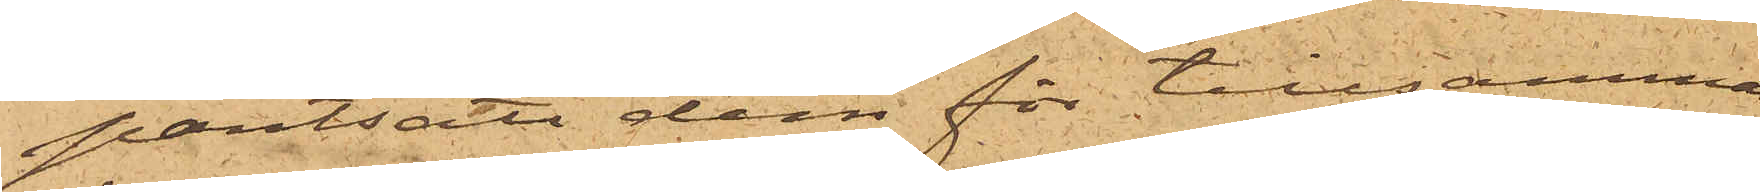pantsatt dem för tillsammans
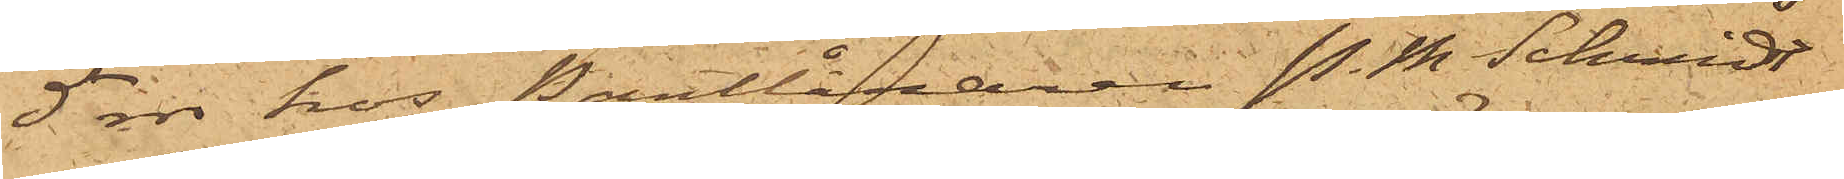5 rdr hos Pantlånaren P. M. Schmidt
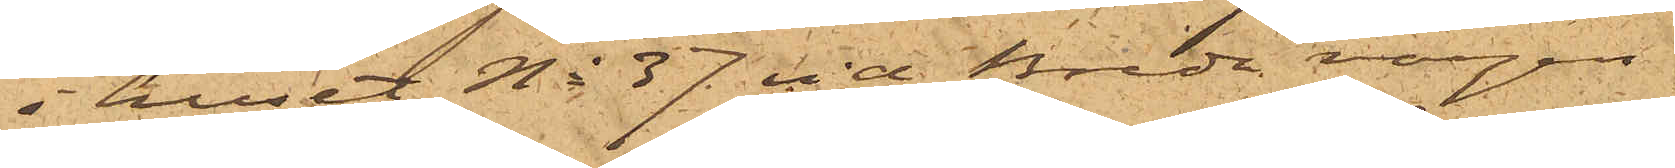i huset No 37 vid Breda vägen.
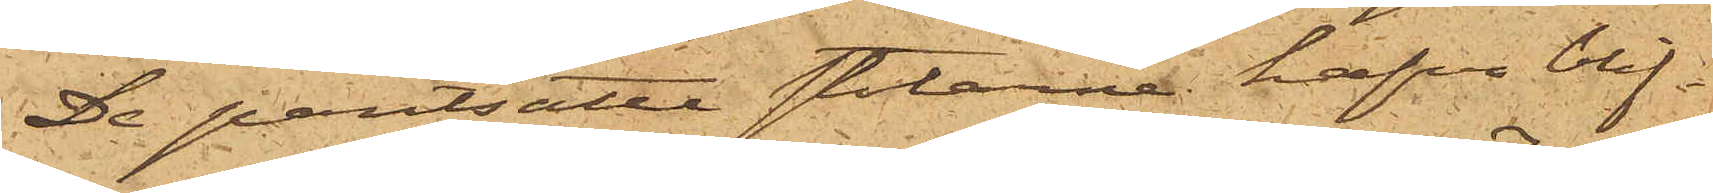De pantsatte stolarne hafva blif¬
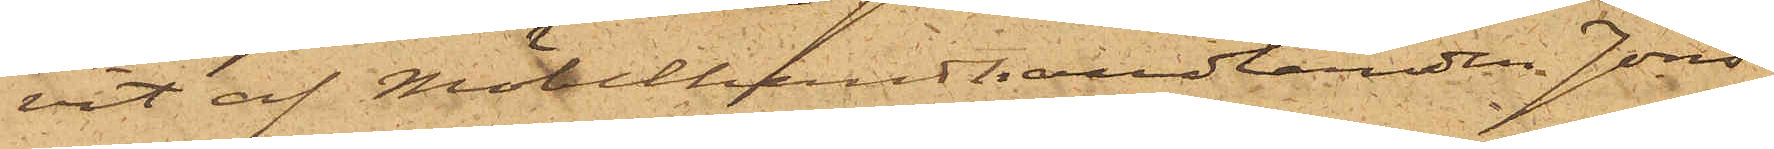vit af Möbelhandlanden Jons¬
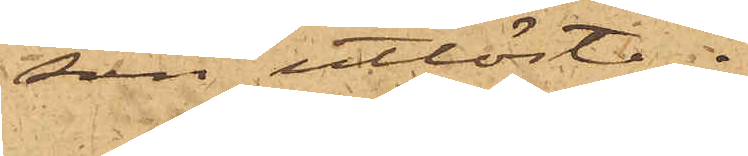son utlösta.
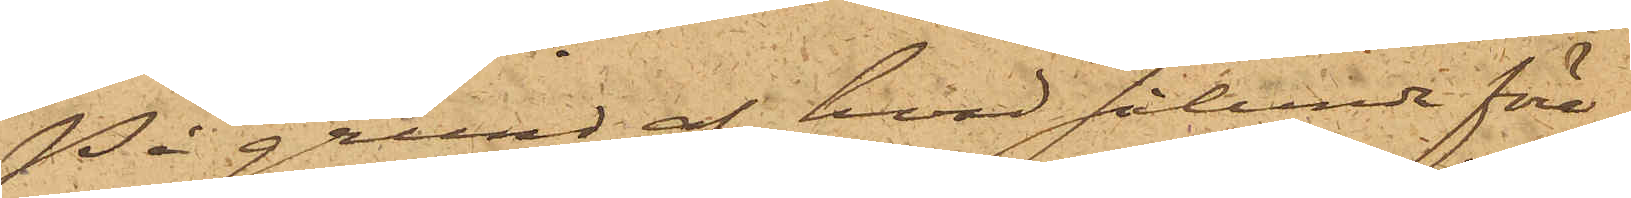På grund af hvad sålunda före¬
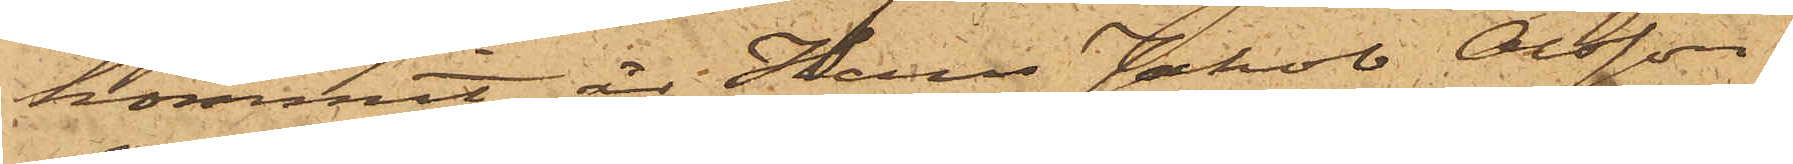kommit, är Hans Jakob Olsson
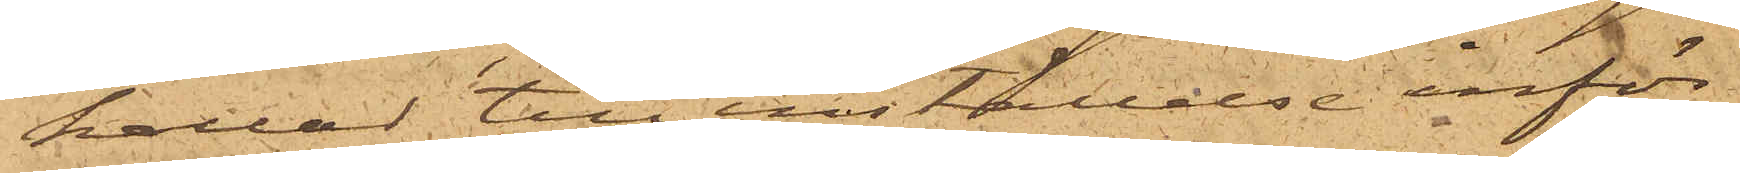kallad till inställelse inför
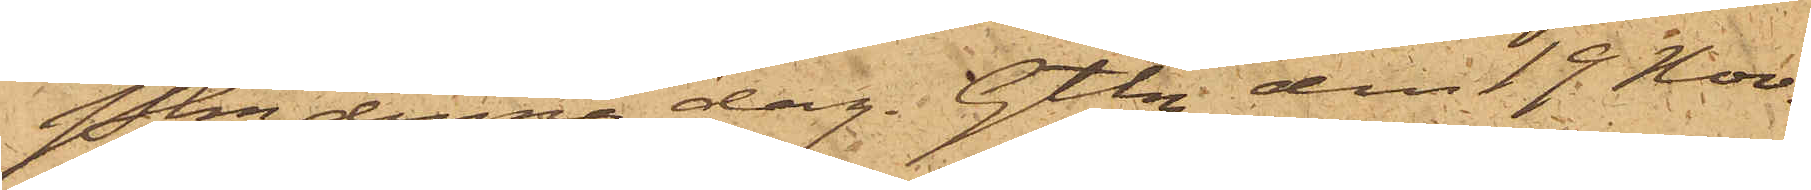Pkn denna dag. Gtbg den 19 Nov.
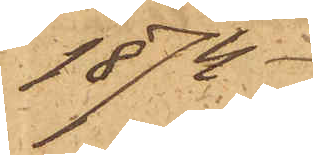1874.
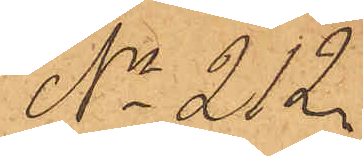No 212
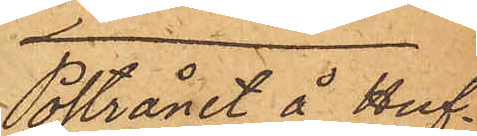Postrånet å Huf¬
